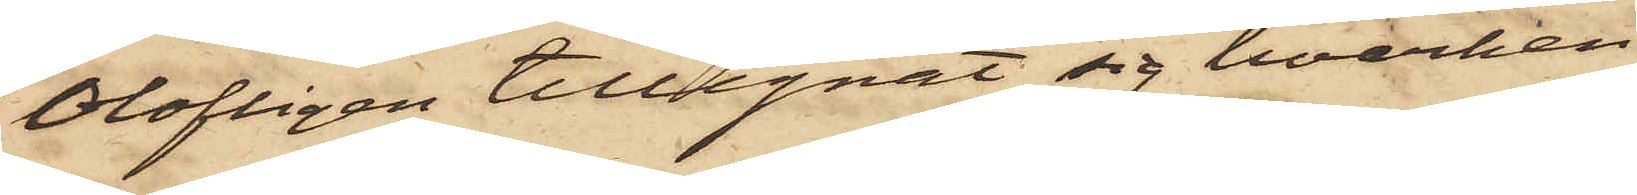Olofligen tillegnat sig hvarken
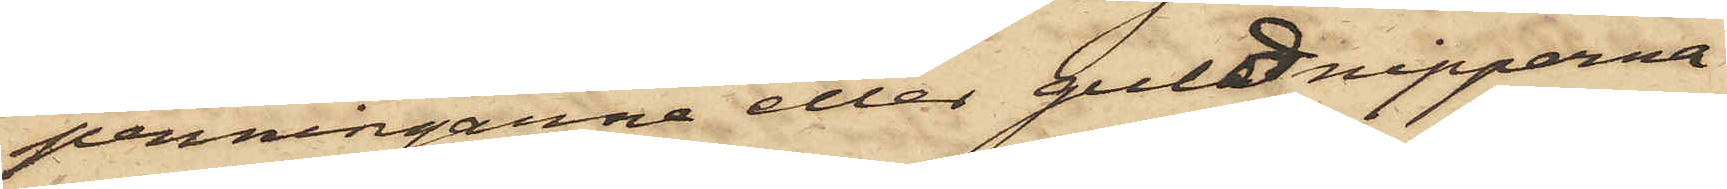penningarne eller guldnipperna
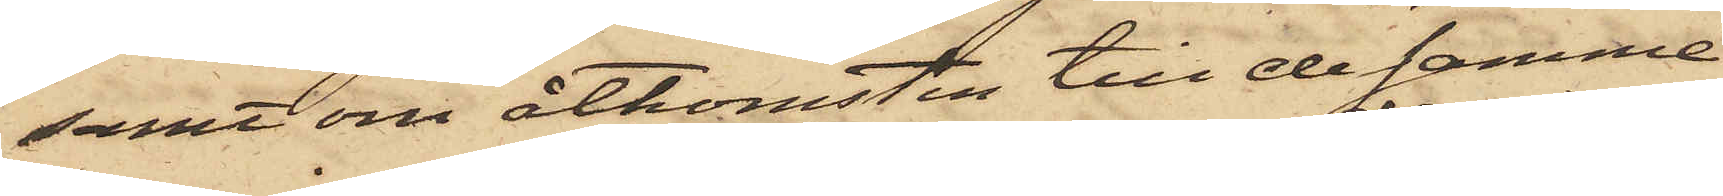samt om åtkomsten till desamme
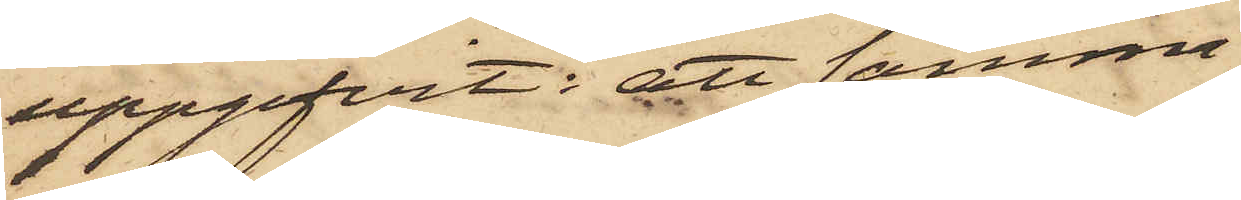uppgifvit: att samma
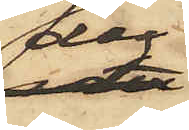dag
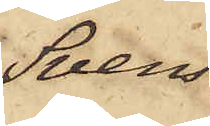Sven¬
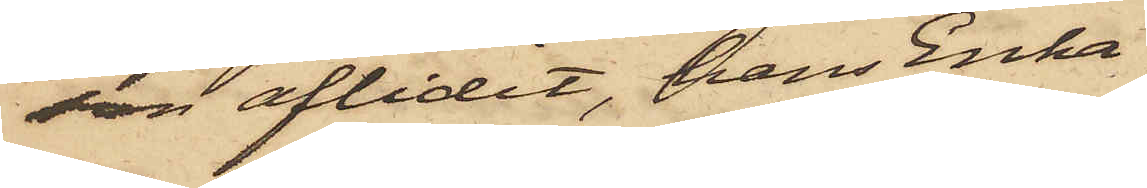son aflidit, hans Enka
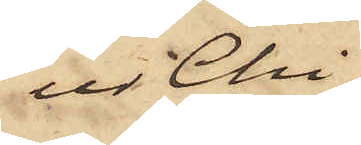ur Chi¬
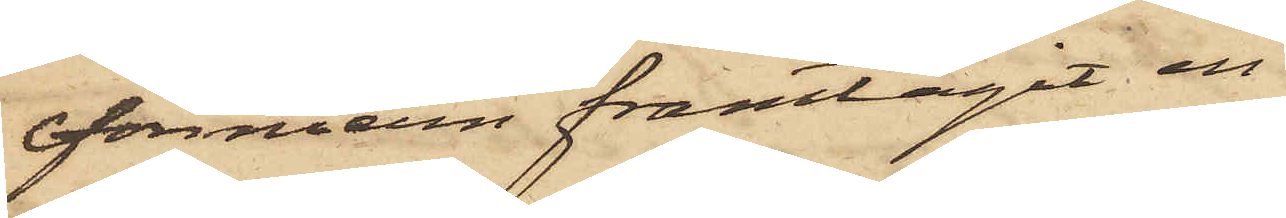fonniern framtagit en
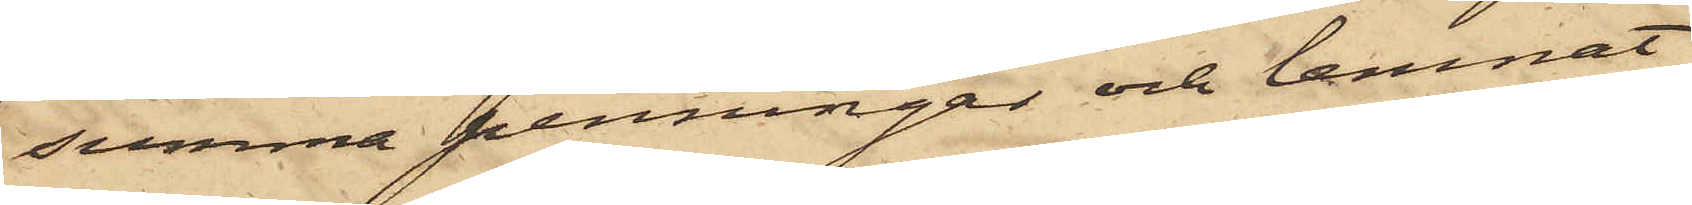summa penningar och lemnat
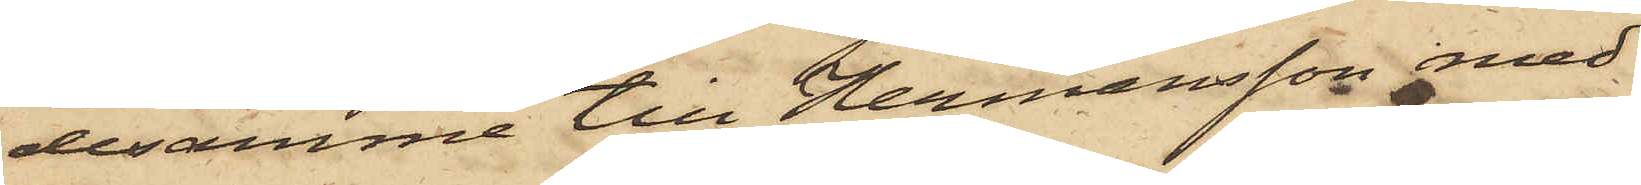desamme till Hermansson med
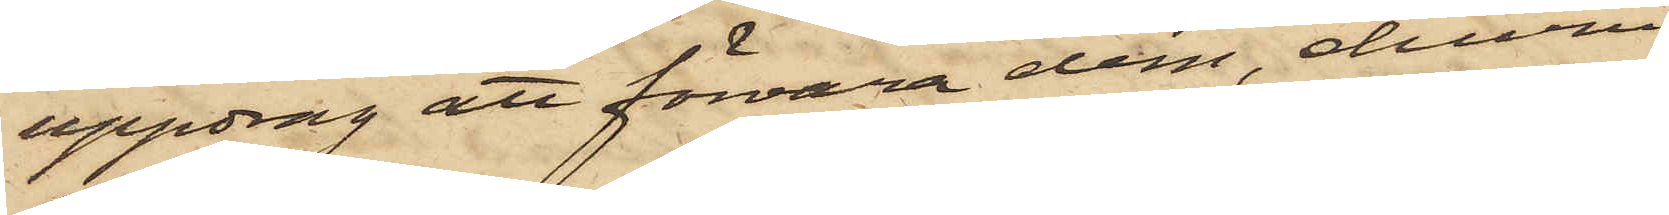uppdrag att förvara dem, ehuru
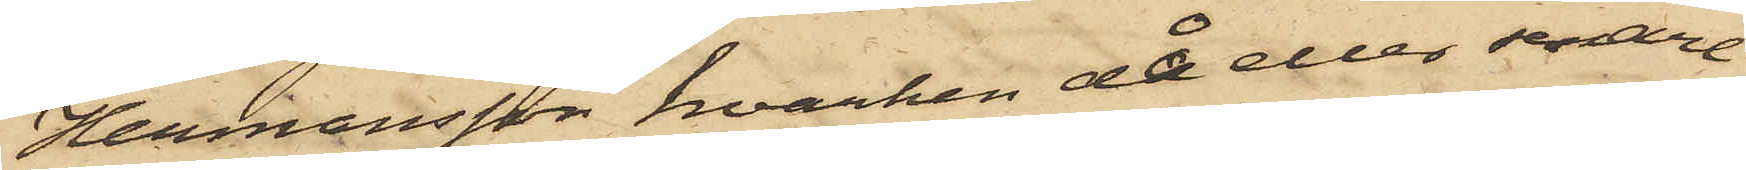Hermansson, hvarken då eller senare
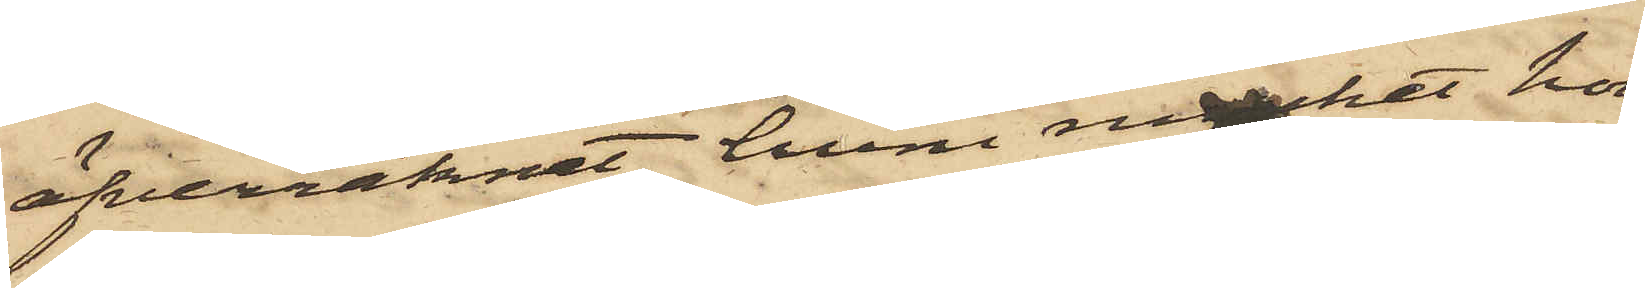öfverräknat, huru mycket hon
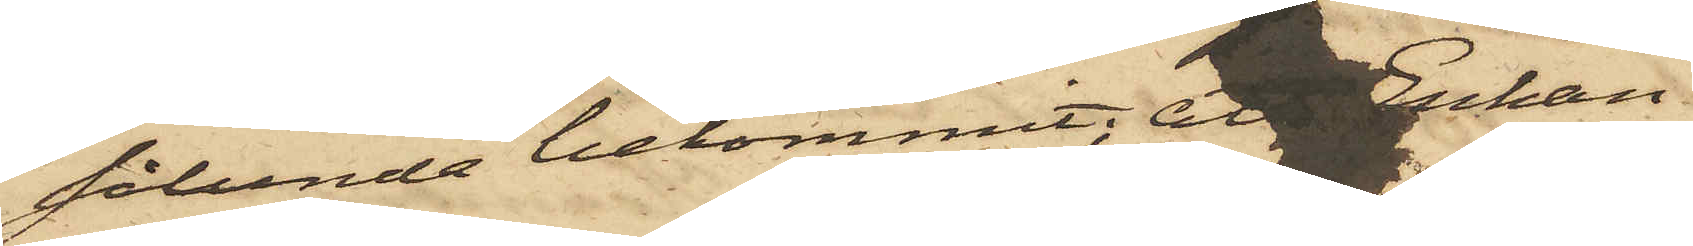sålunda bekommit, att Enkan
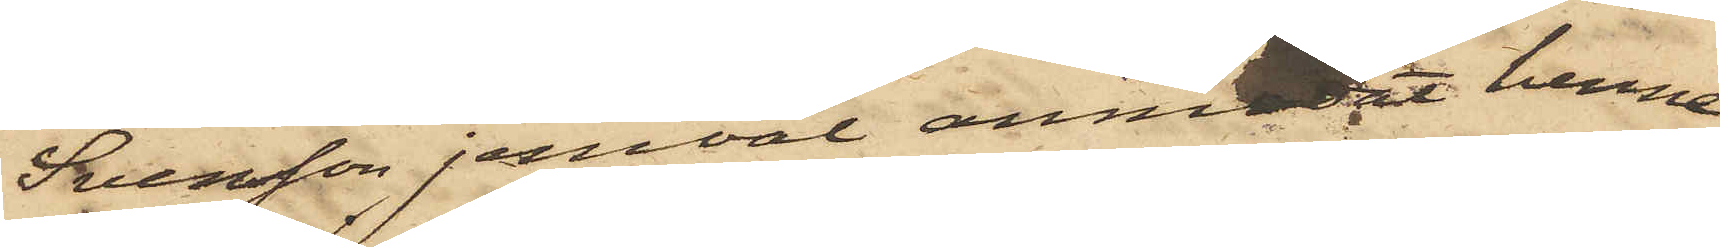Svensson jemväl anmodat henne
